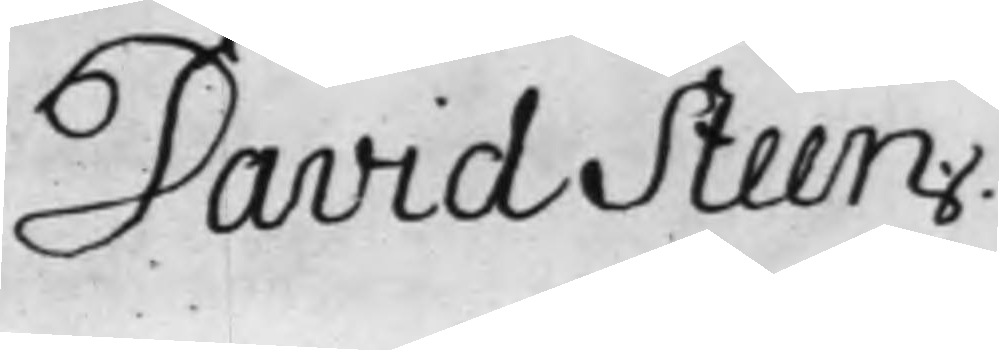David Steen
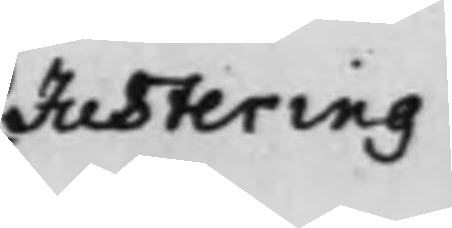Justering
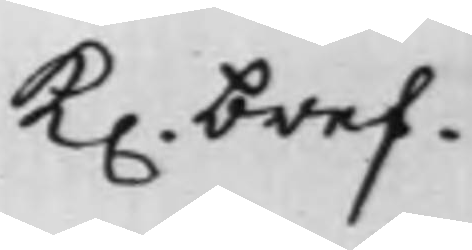K. bref
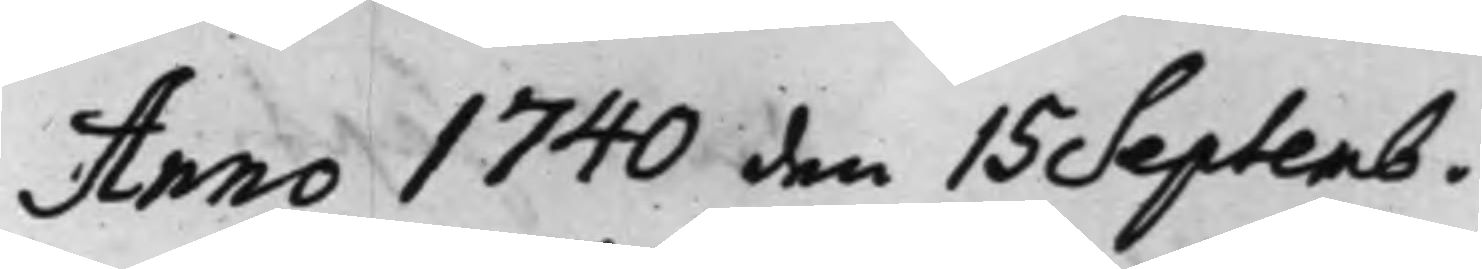Anno 1740 den 15 Septemb.
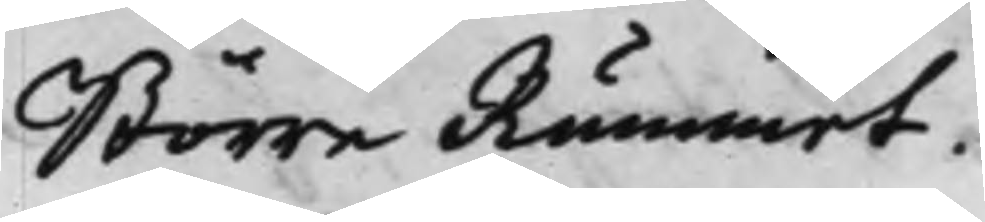Större Rummet.
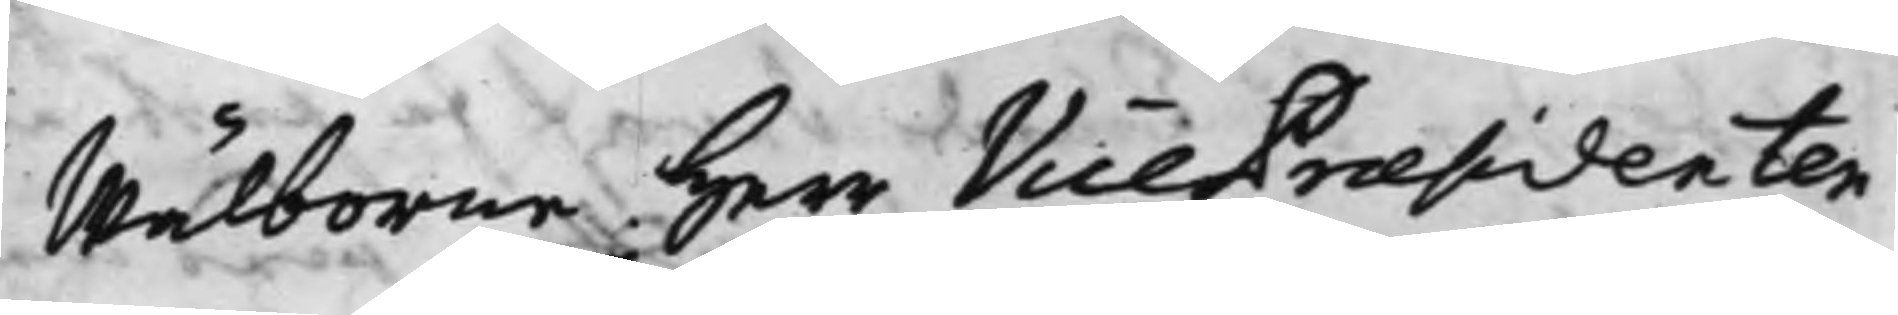Wälborne Herr Vice Præsidenten
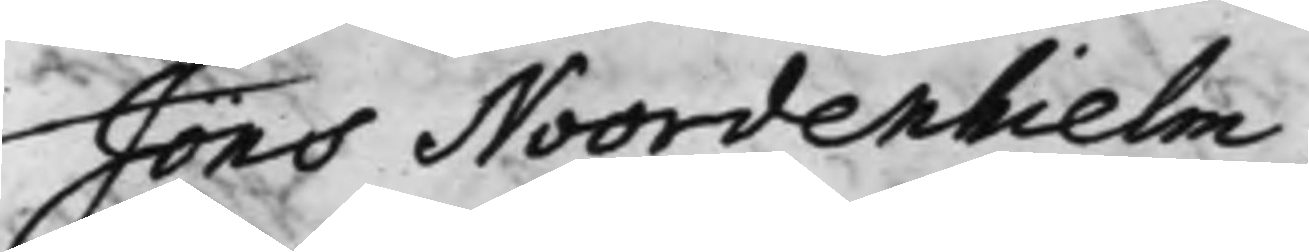Jöns Noordenhielm,
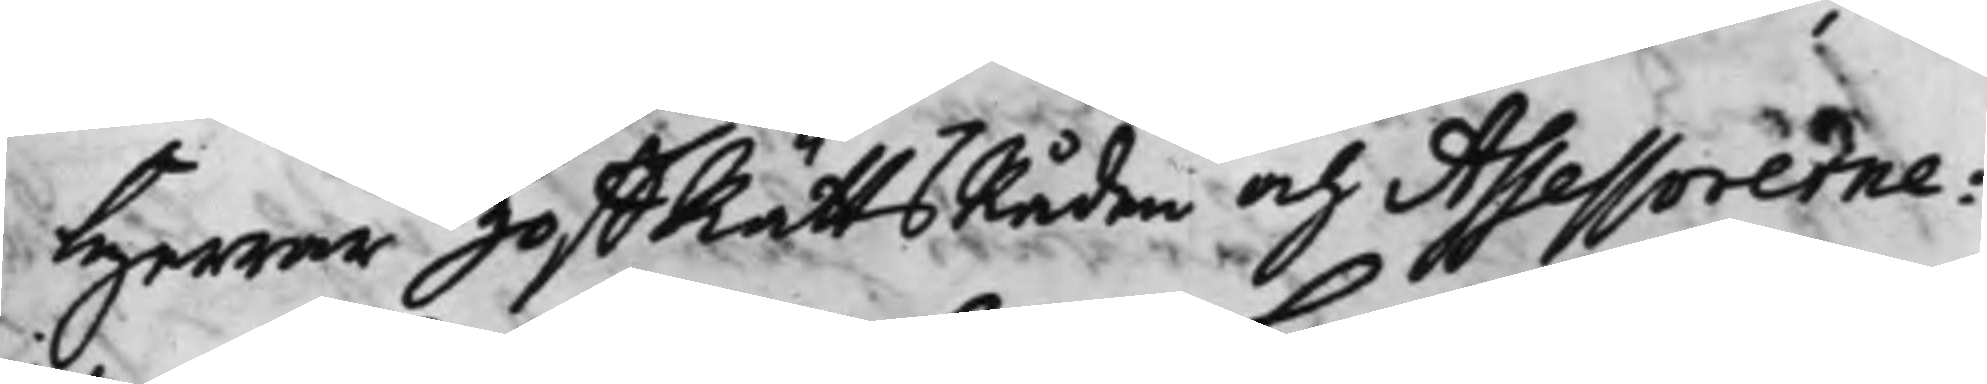Herrar HoffRättsRåden och Assessorerne:
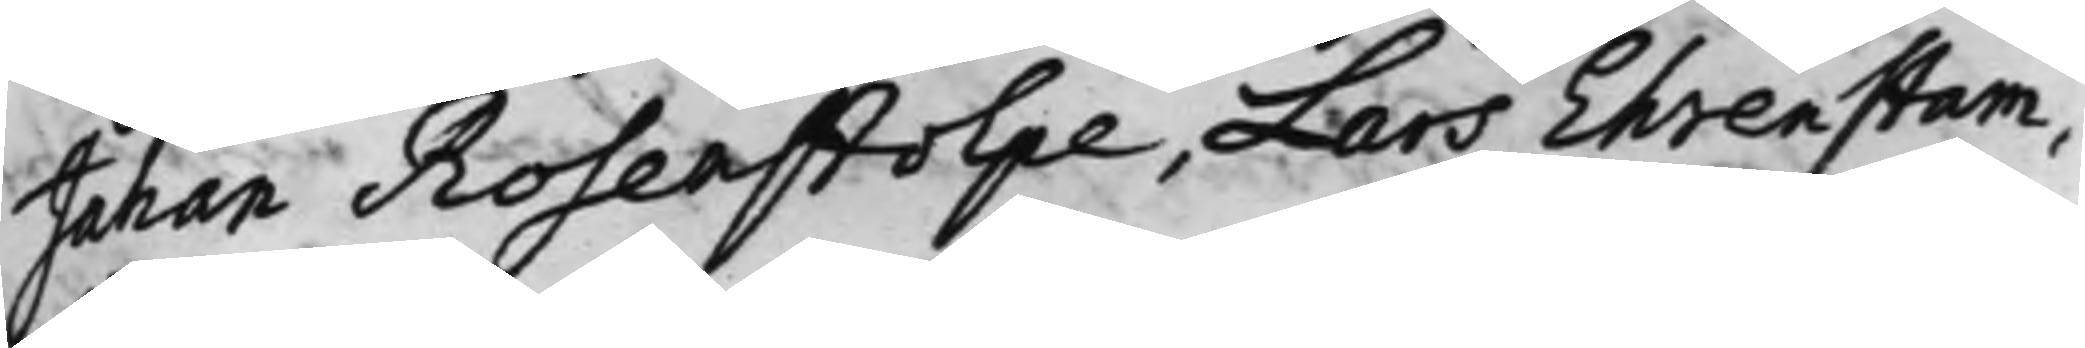Johan Rosenstolpe, Lars Ehrenstam,
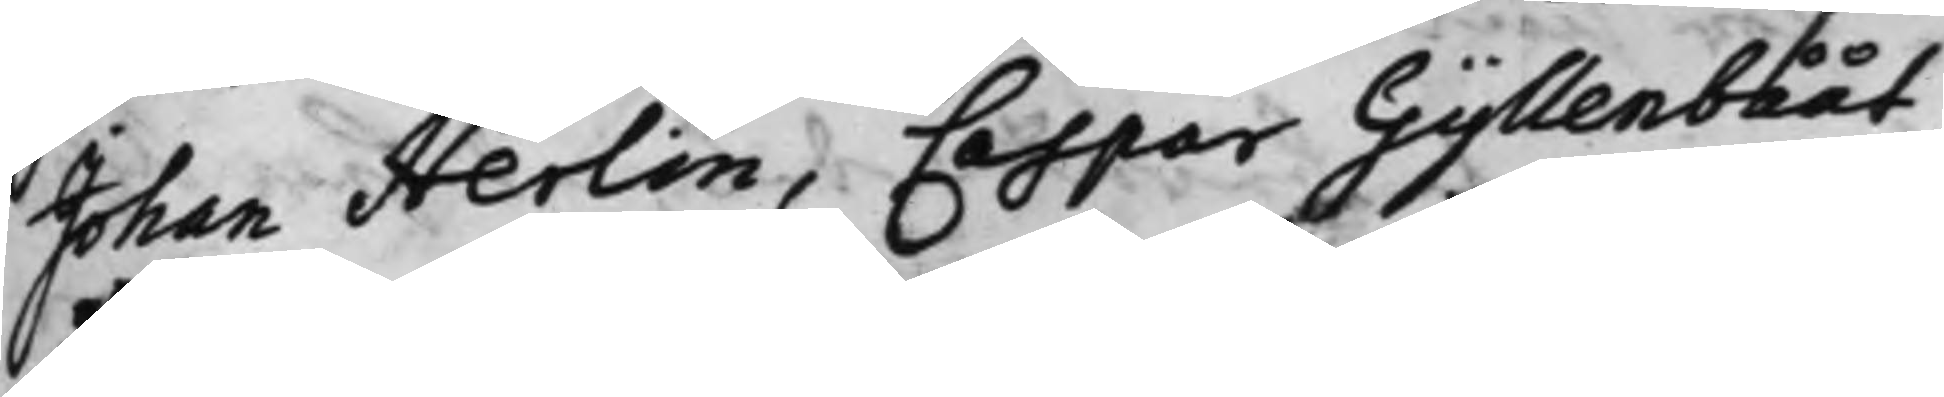Johan Herlin, Caspar Gyllenbååt,
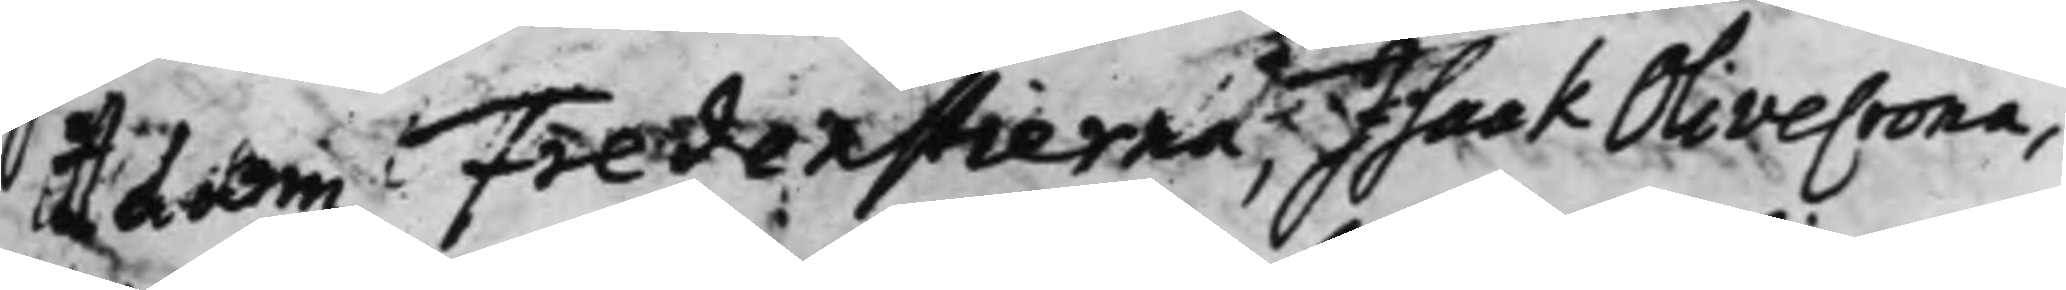Adam Fredenstierna, Isaak Olivecrona,
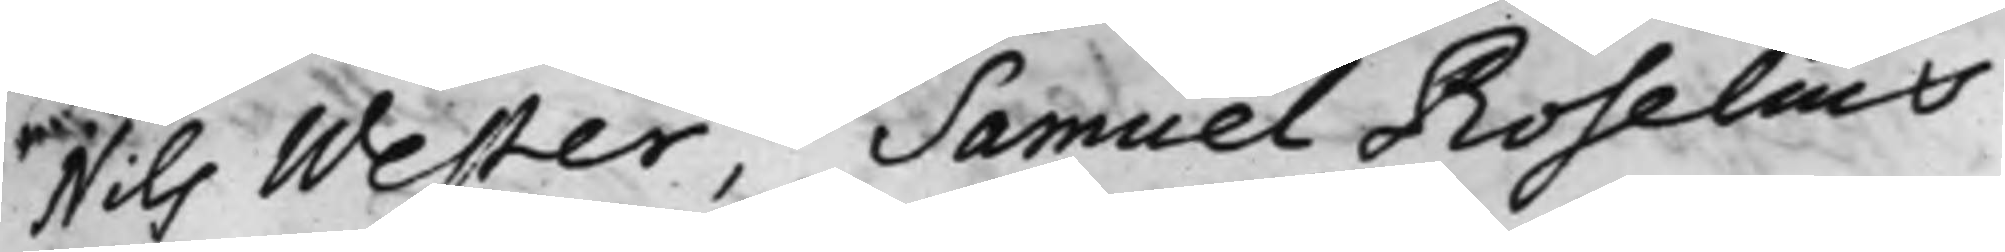Nils Wester, Samuel Roselius
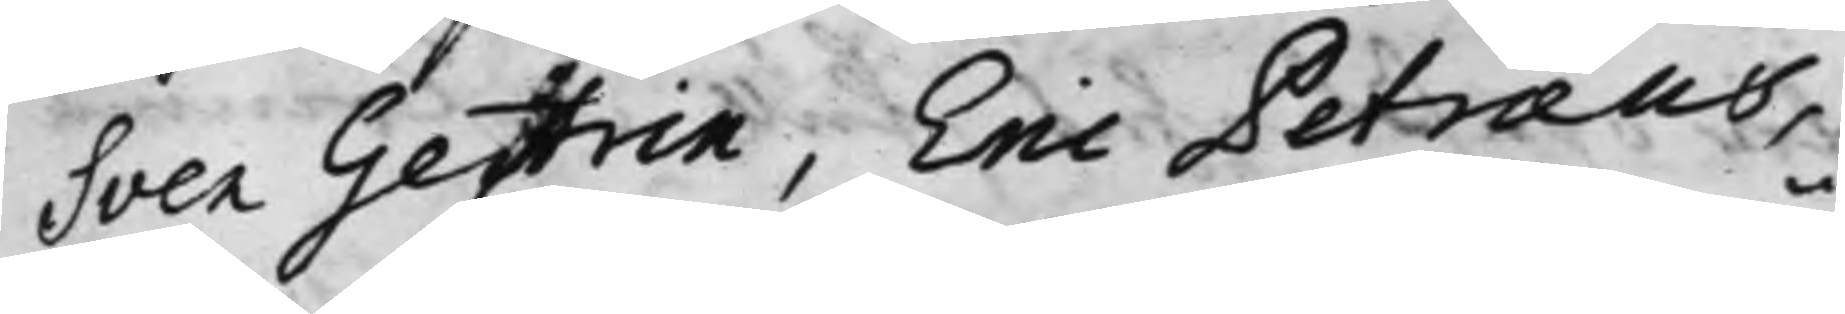Sven Gestrin, Eric Petræus,
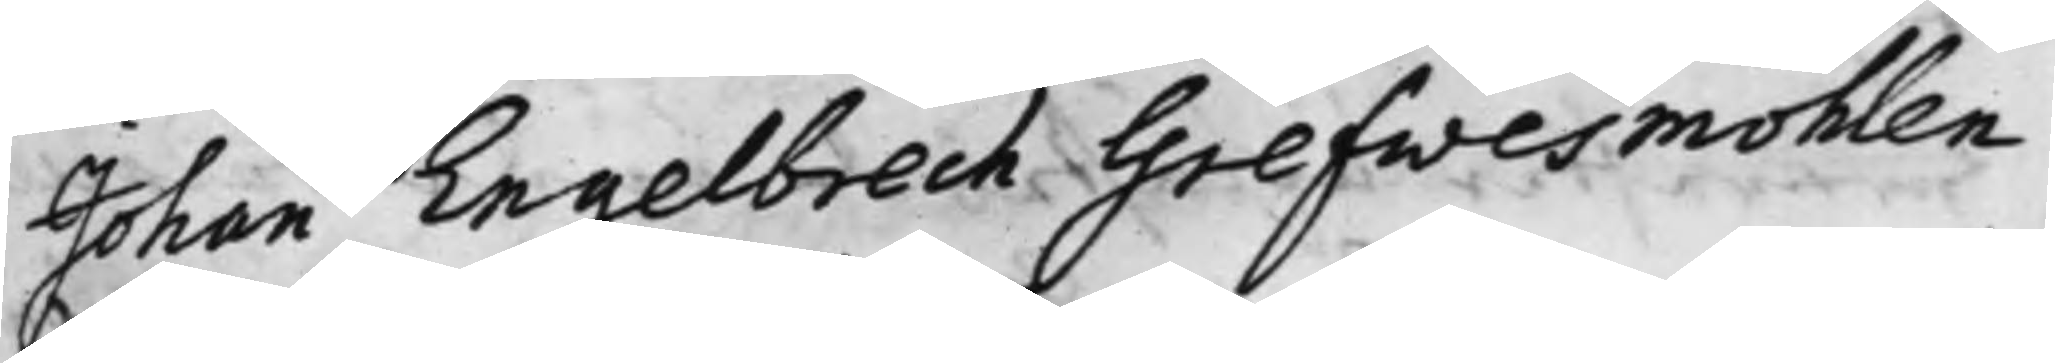Johan Engelbrech Grefwesmöhlen
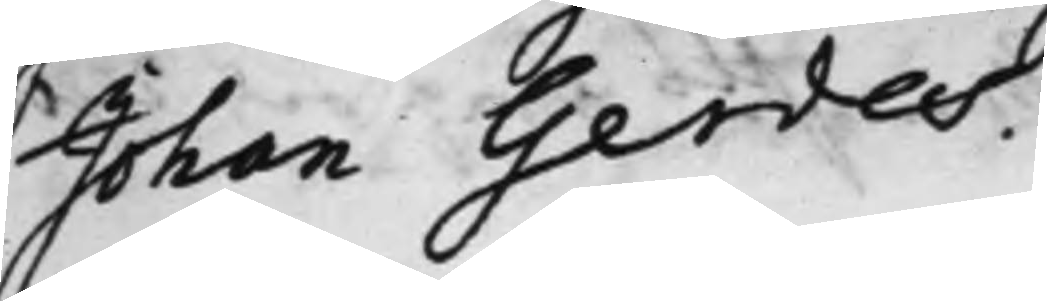Johan Gerdes.
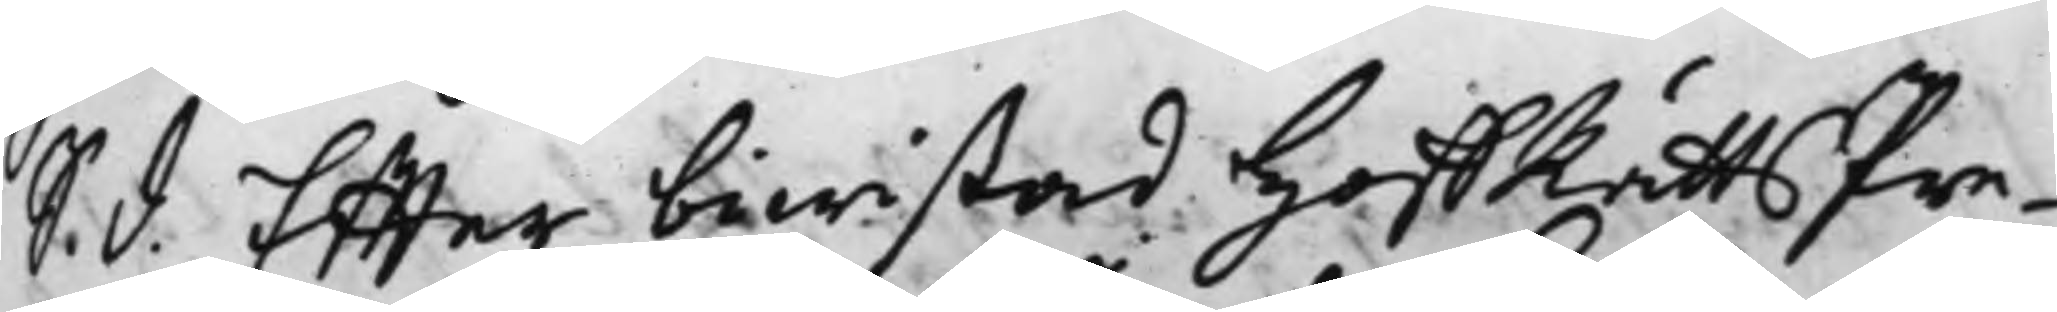S. d. Effter bewistad HoffRätts Pre¬
